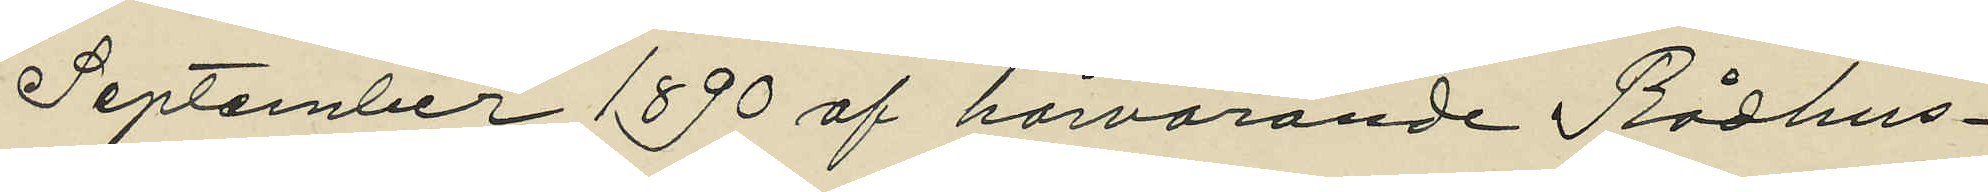September 1890 af härvarande Rådhus¬
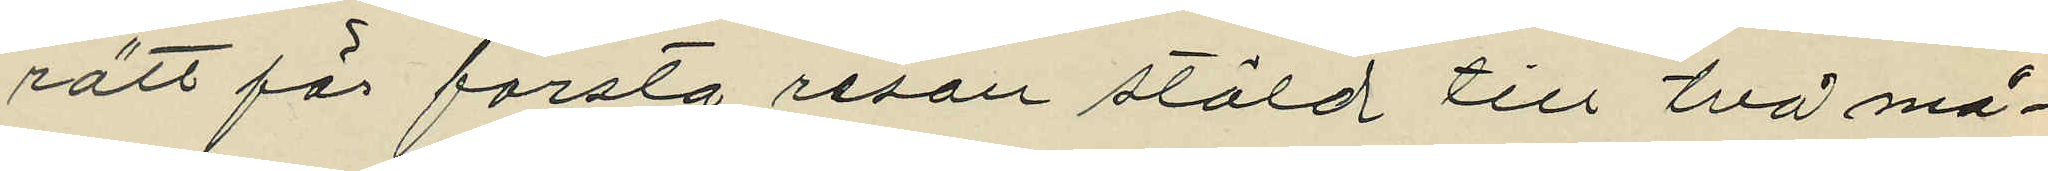rätt för första resan stöld till två må¬
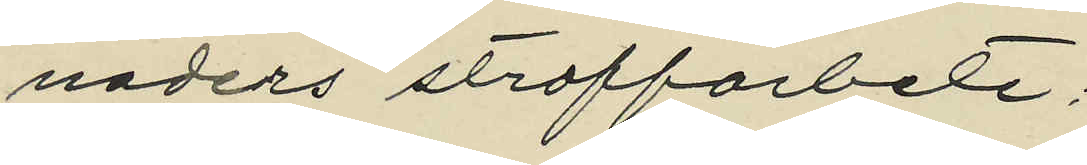naders straffarbete;
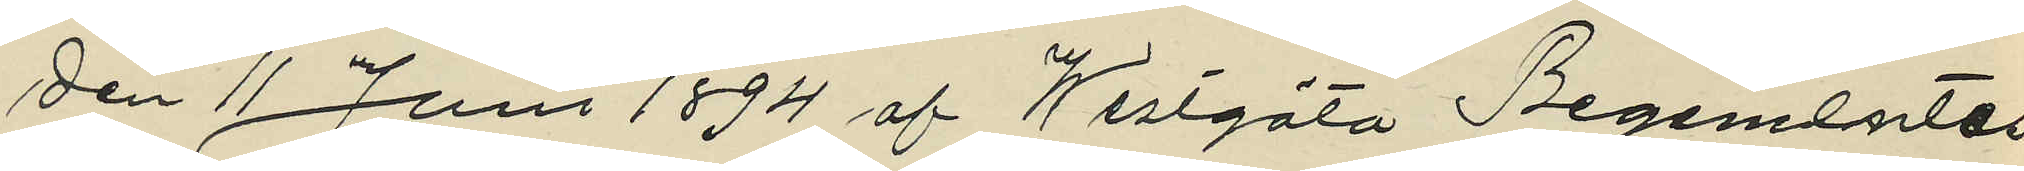den 11 Juni 1894 af Westgöta Regementes
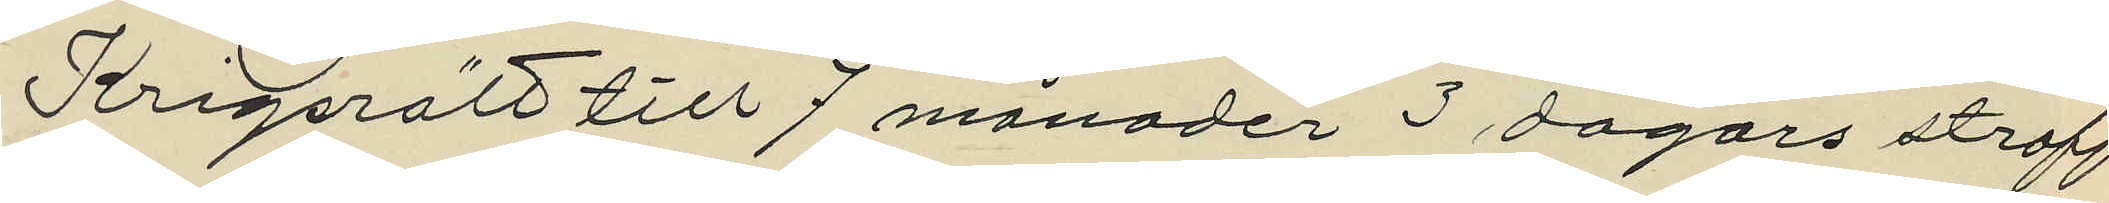Krigsrätt till 7 månader 3 dagars straff¬
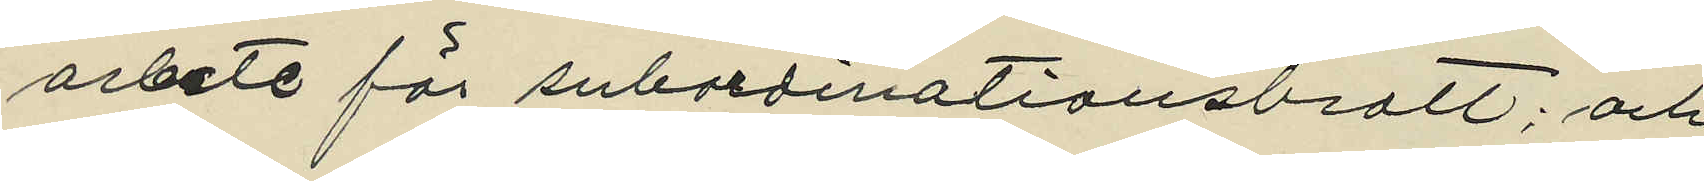arbete för subordinationsbrott; och
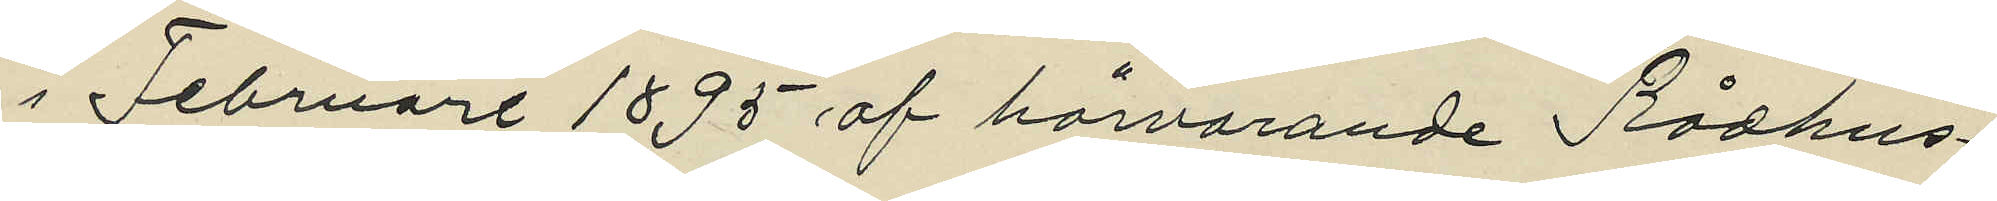i Februari 1895 af härvarande Rådhus¬
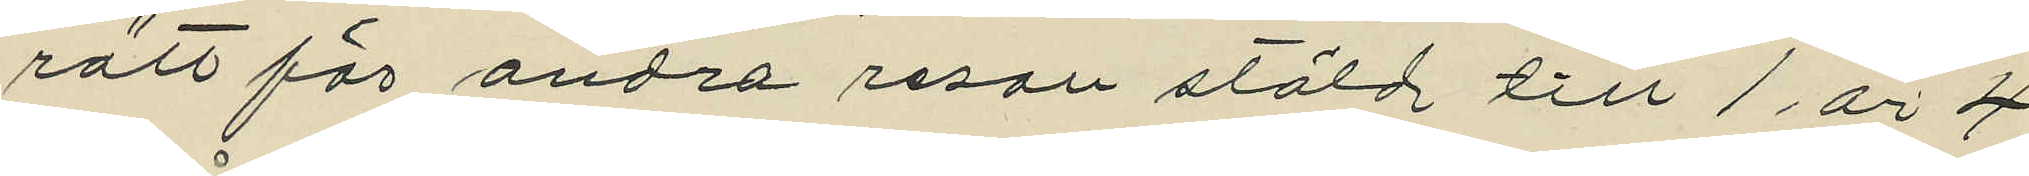rätt för andra resan stöld till 1 år 4
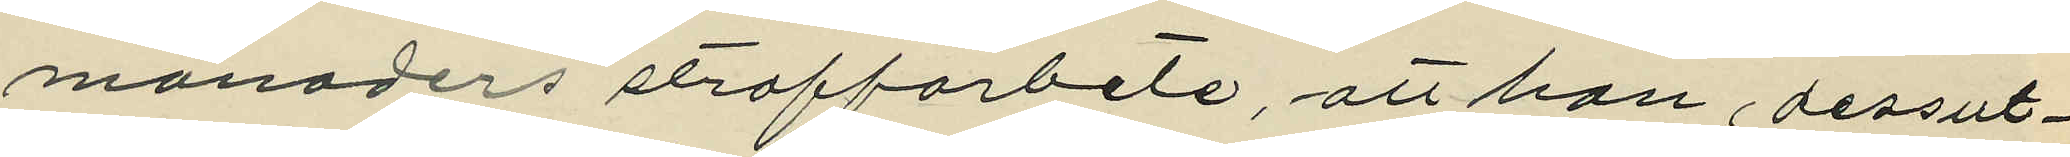månaders straffarbete, att han dessut¬
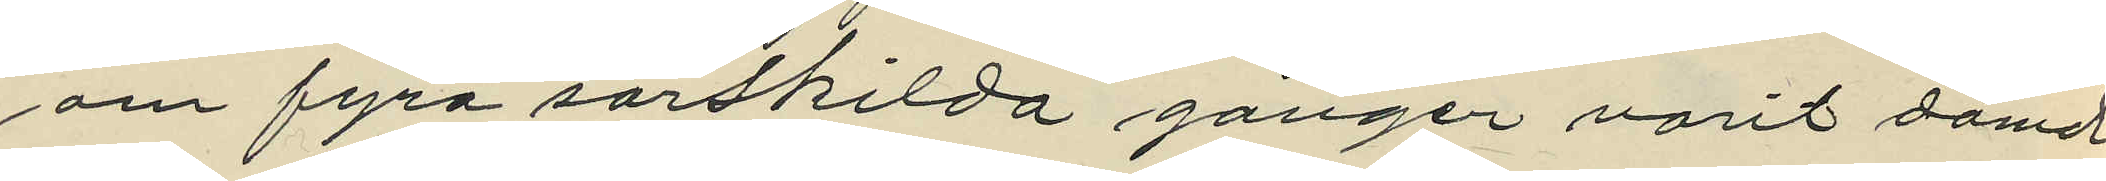om fyra särskilda gånger varit dömd
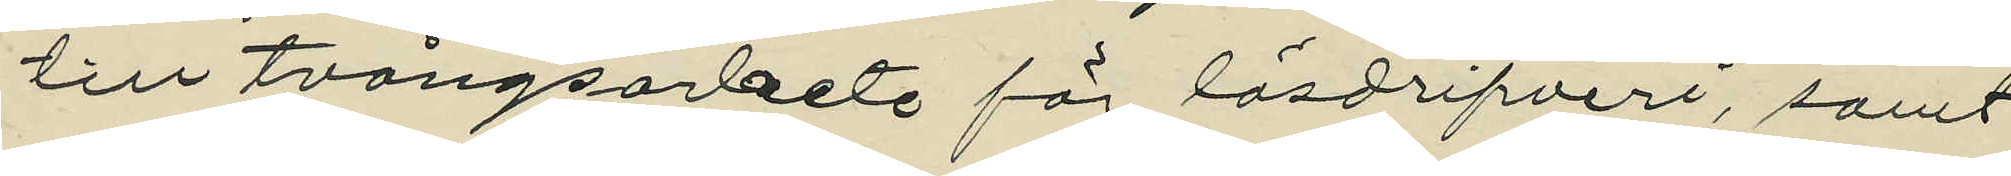till tvångsarbete för lösdrifveri, samt
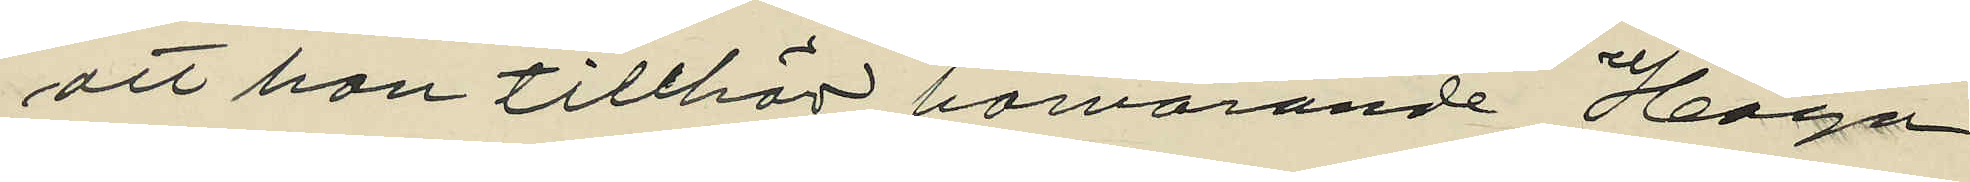att han tillhör härvarande Haga
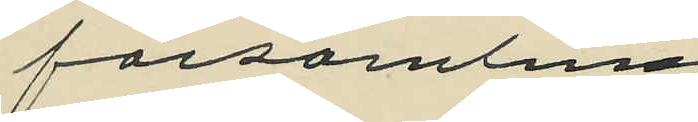församling
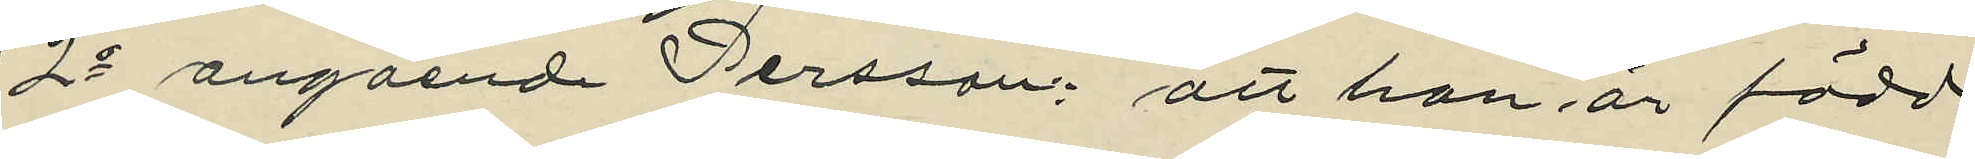2o angående Persson: att han är född
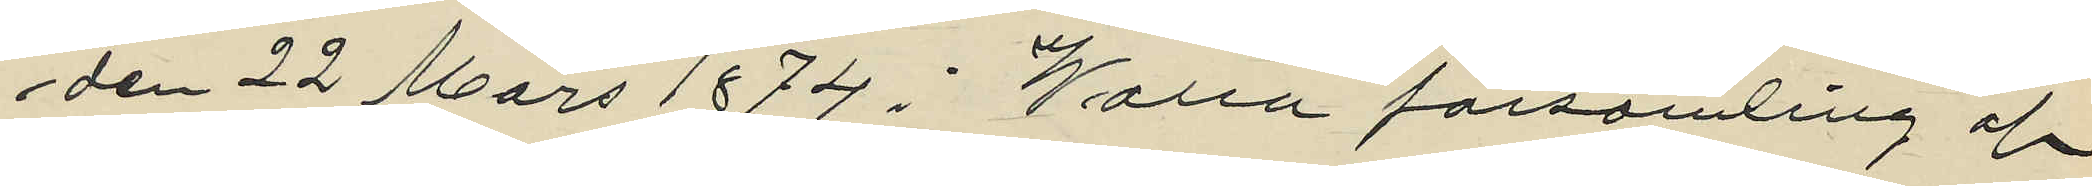den 22 Mars 1874 i Walla församling af
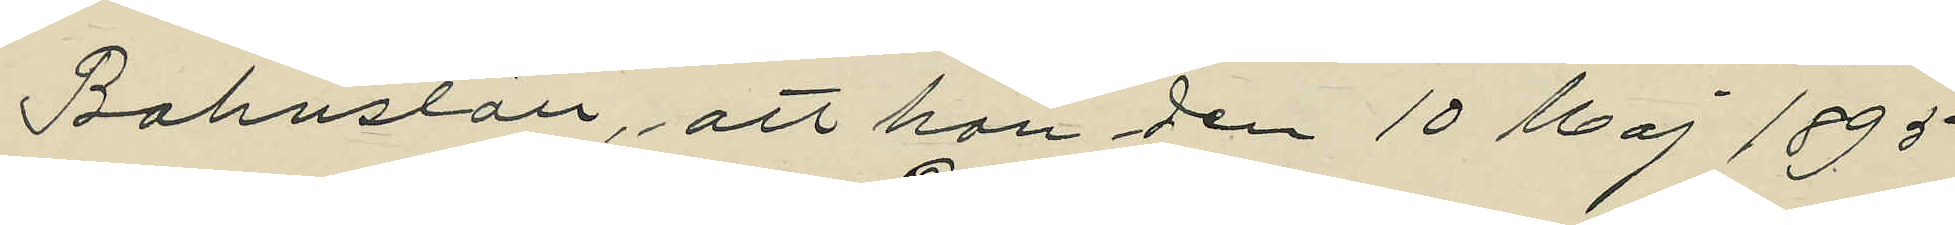Bohuslän, att han den 10 Maj 1895
